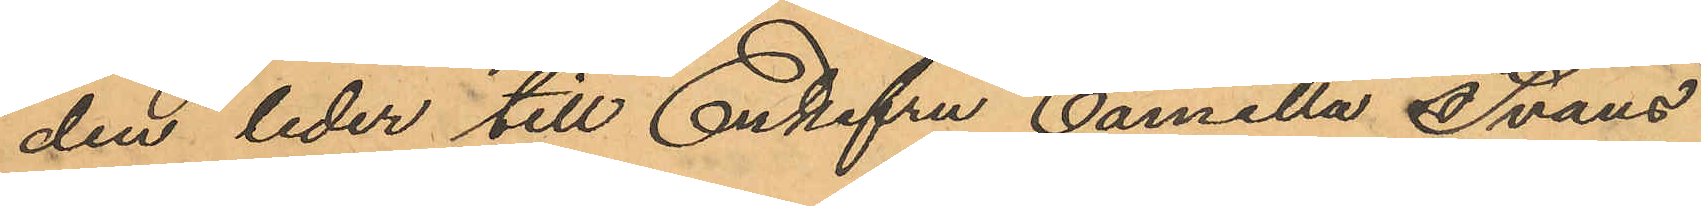den leder till Enkefru Camilla Svans
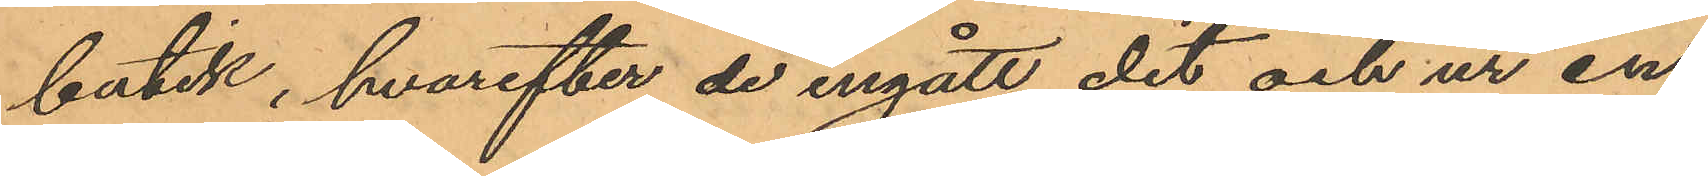butik, hvarefter de ingått dit och ur en
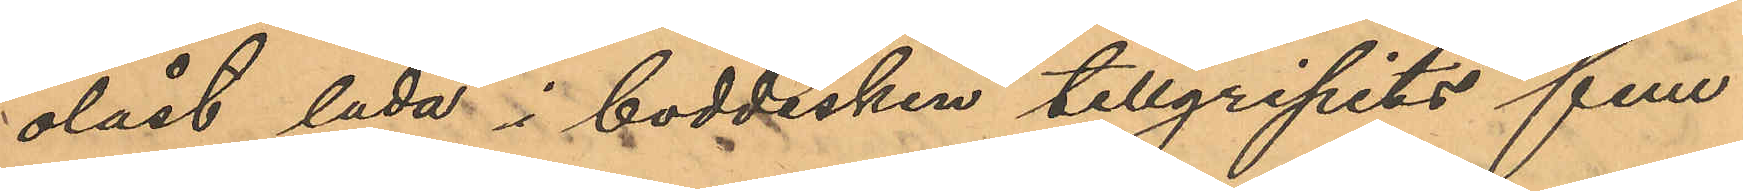olåst låda i boddisken tillgripits fem
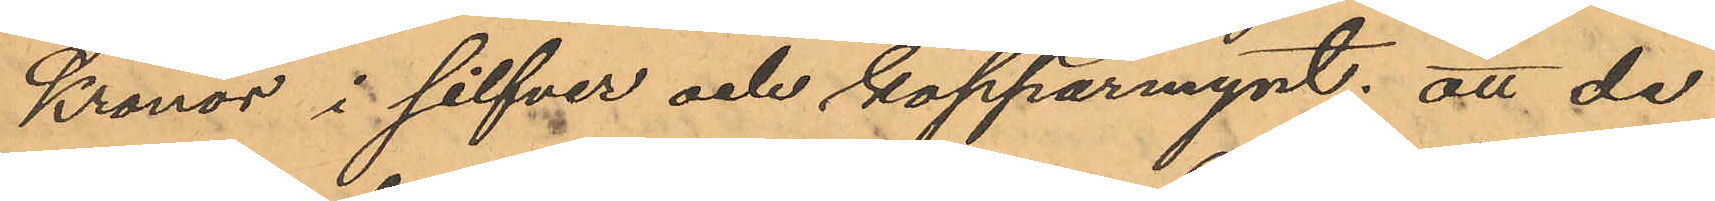Kronor i silfver och kopparmynt; att de
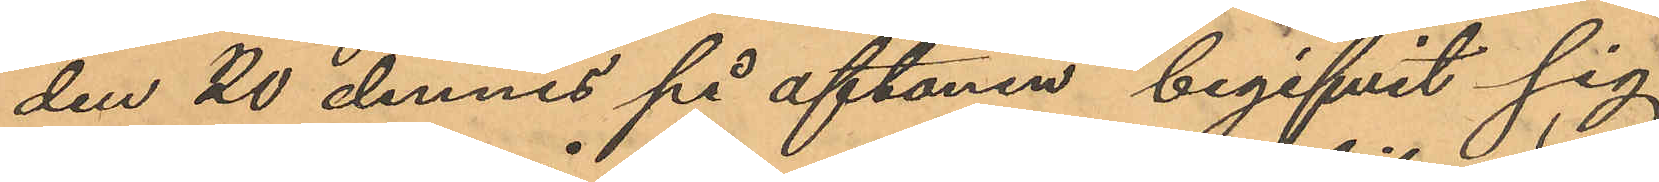den 20 dennes på aftonen begifvit sig
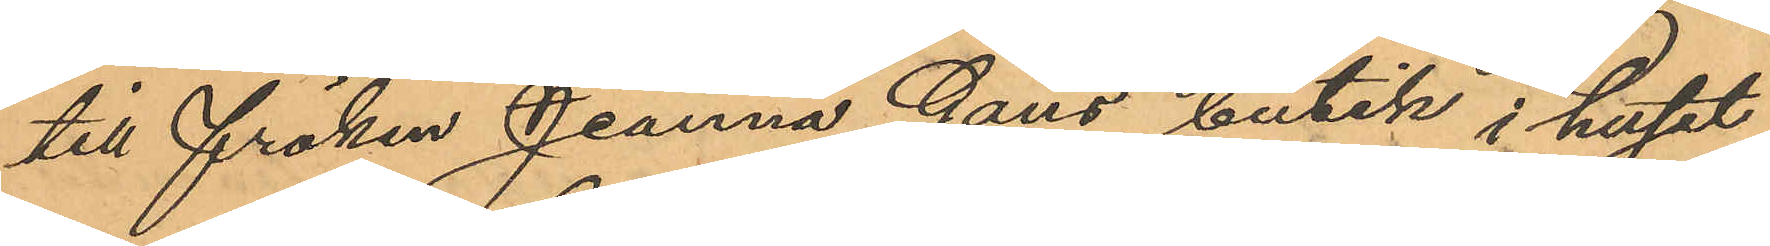till fröken Jeanna Gans butik i huset
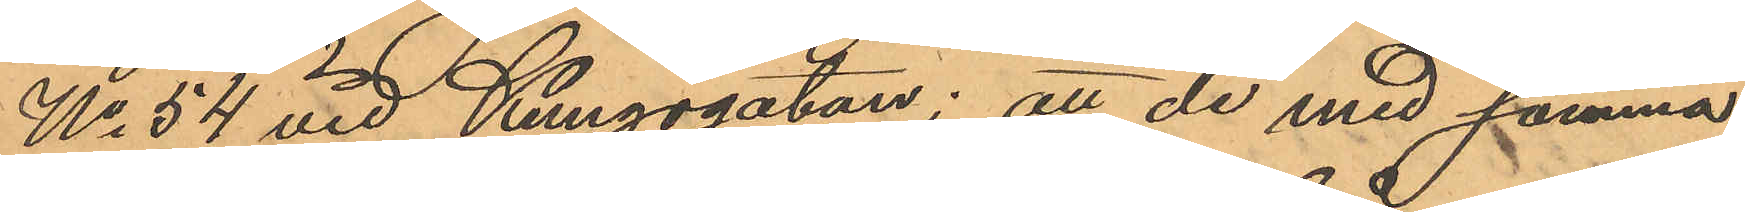No 54 vid Kungsgatan; att de med samma
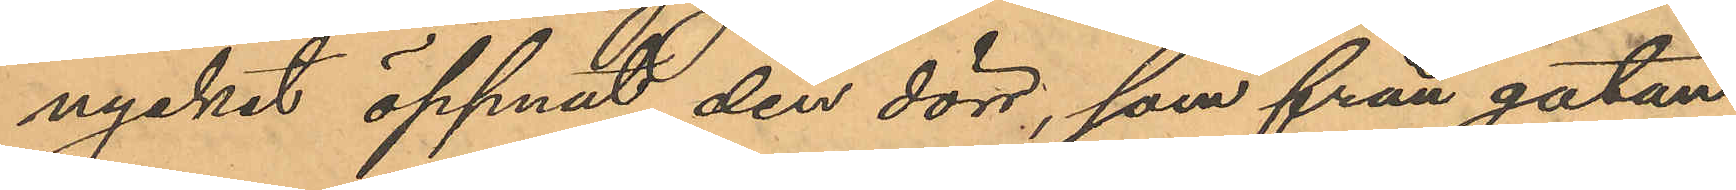nycket öppnat den dörr, som från gatan
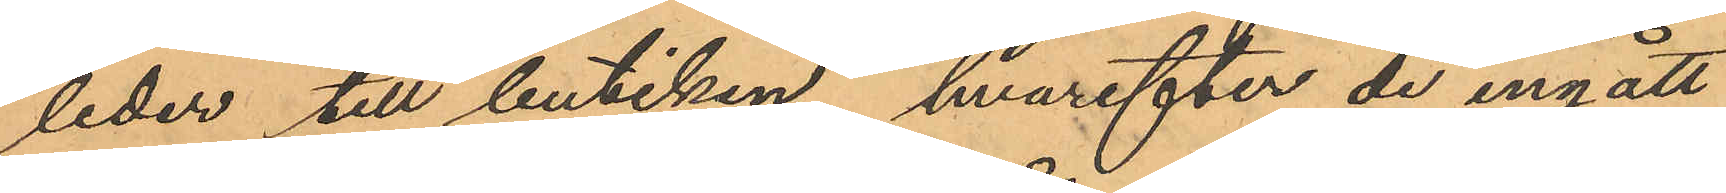leder till butiken, hvarefter de ingått
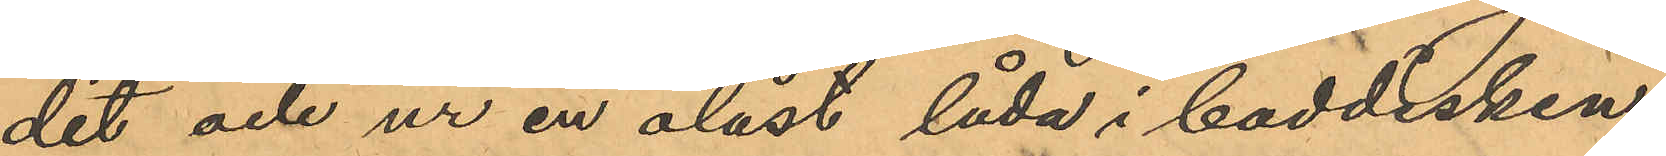dit och ur en olåst låda i boddisken
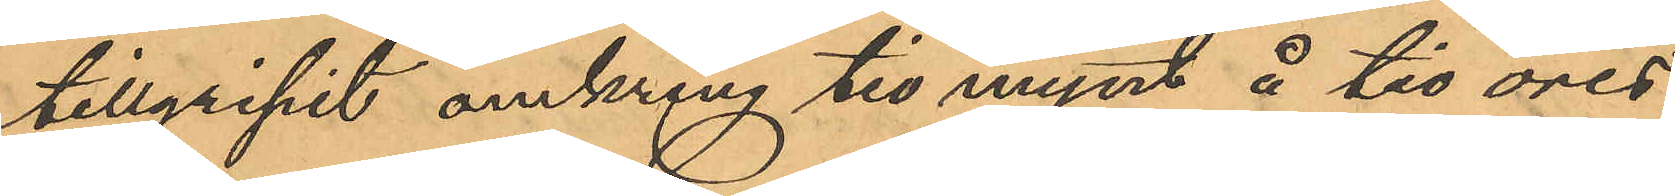tillgripit omkring tio mynt å tio öres
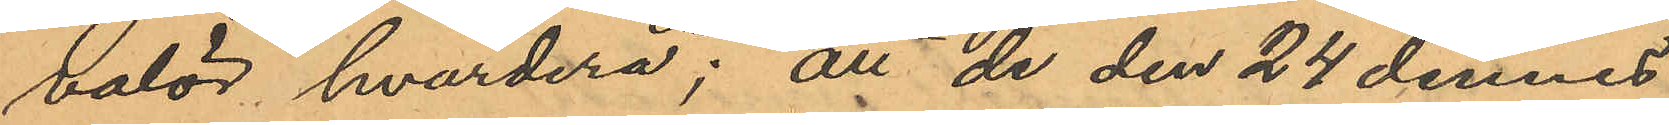valör hvardera; att de den 24 dennes
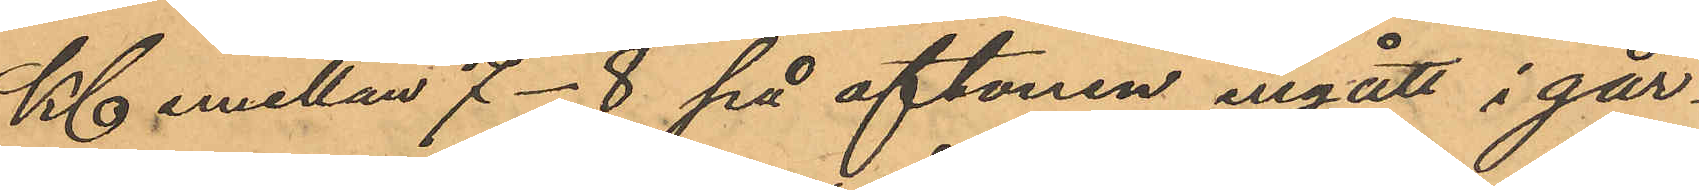Kl emellan 7-8 på aftonen ingått i går¬
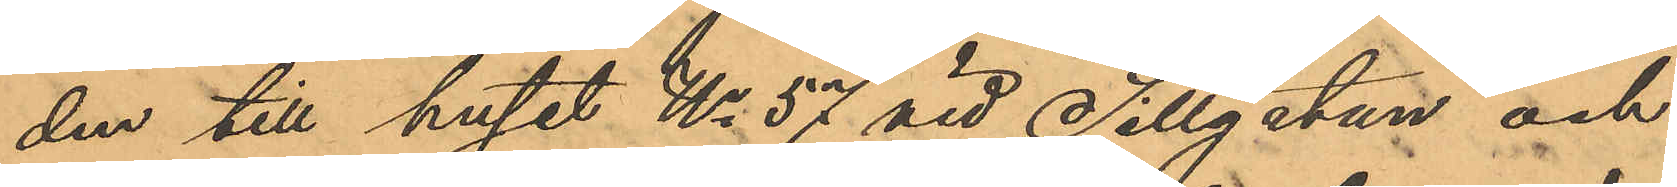den till huset No 57 vid Sillgatan och
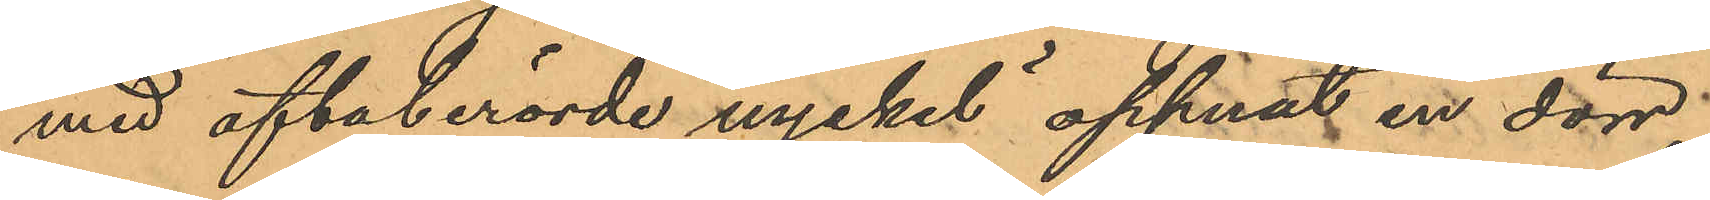med oftaberörde nyckel öppnat en dörr;
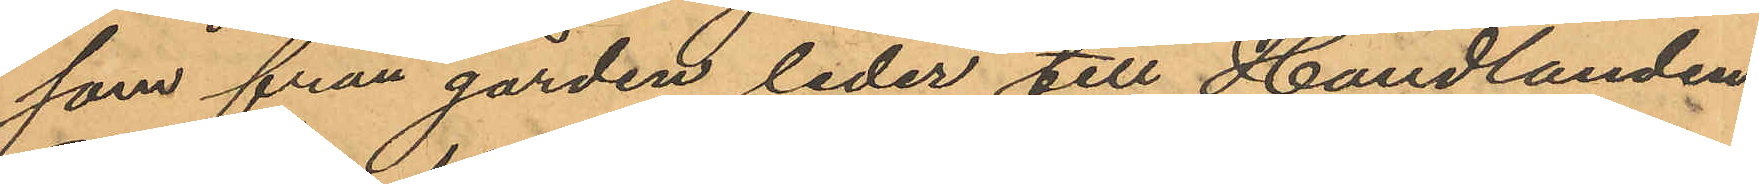som från gården leder till Handlanden
